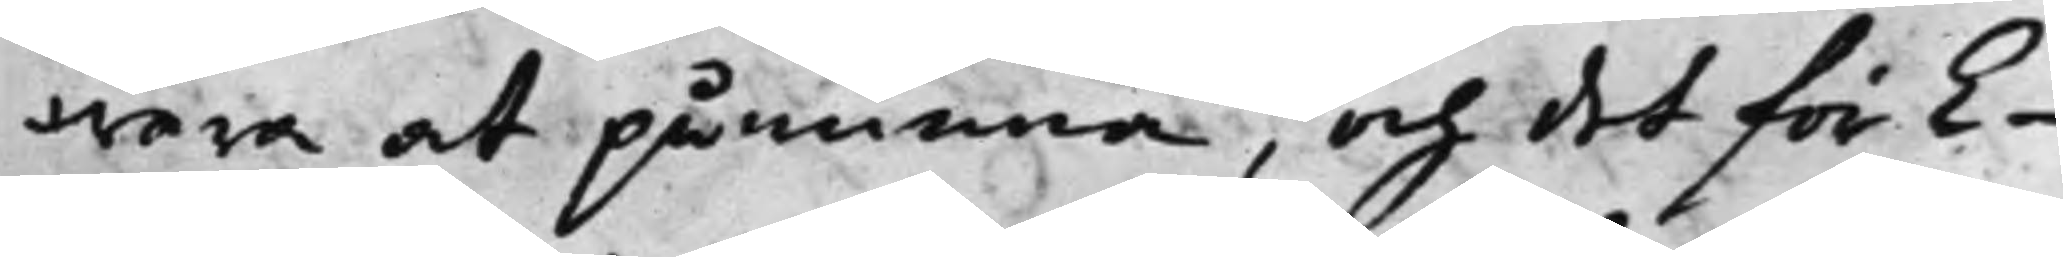wara at påminna, och det för E¬
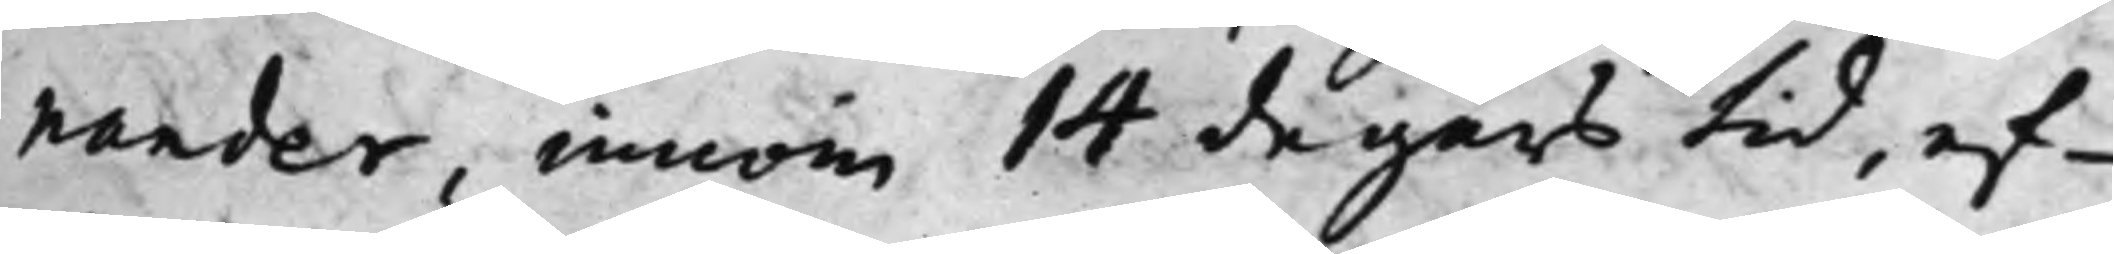nander, innom 14 dagars tid, ef¬
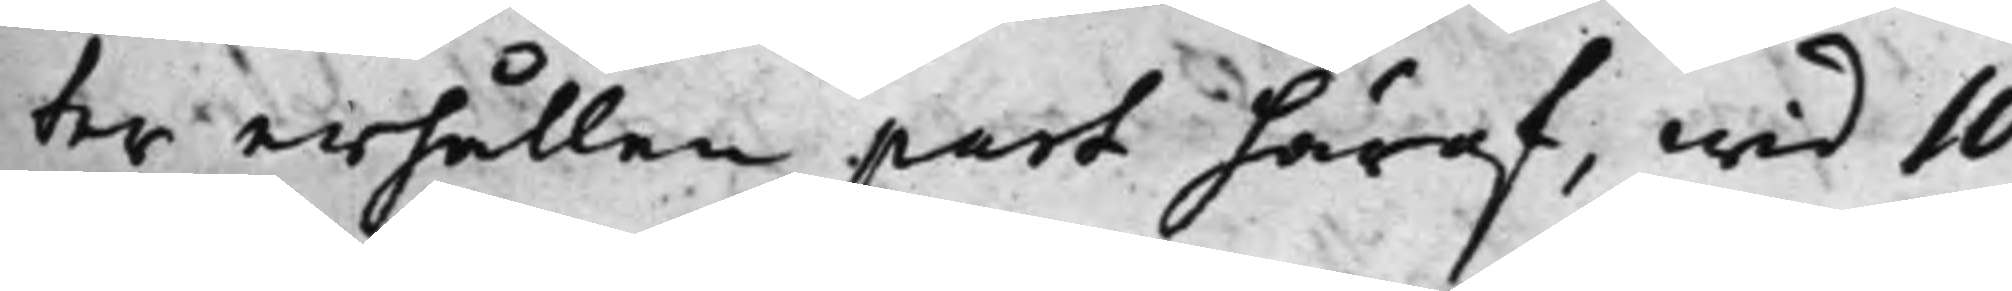ter erhållen part häraf, wid 10
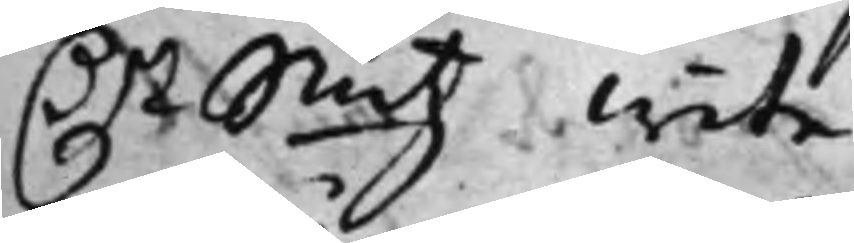D.r Smtz wite.
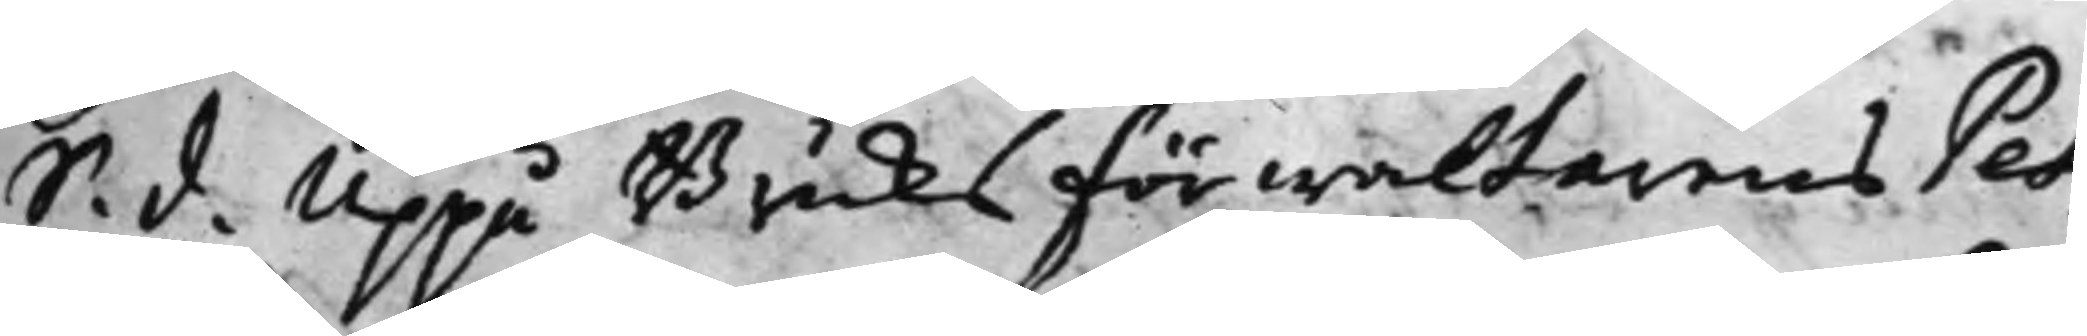S. d. Uppå Bruks Förwaltarens Pet¬
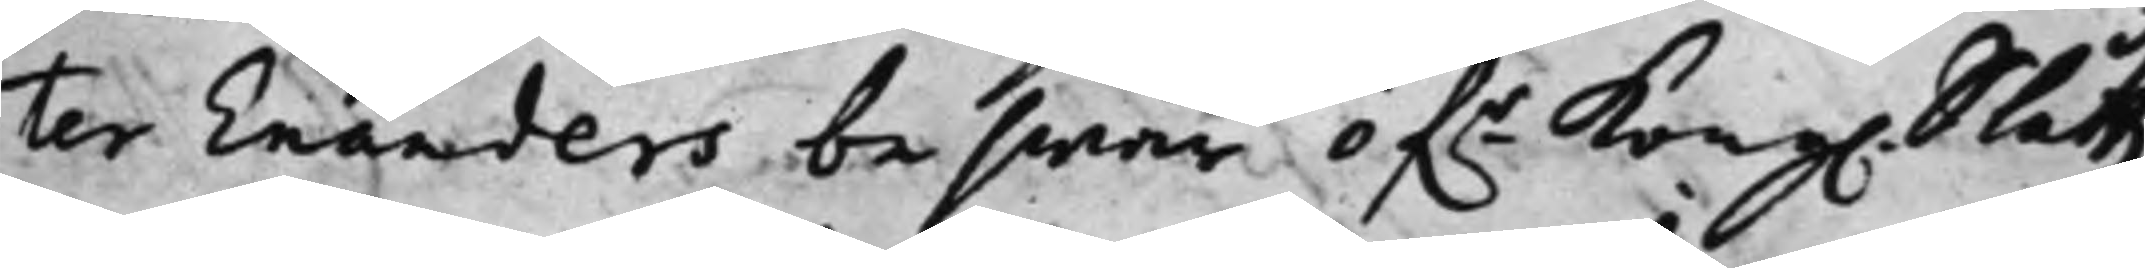ter Enanders beswär öf.r Kong. Slåttz¬
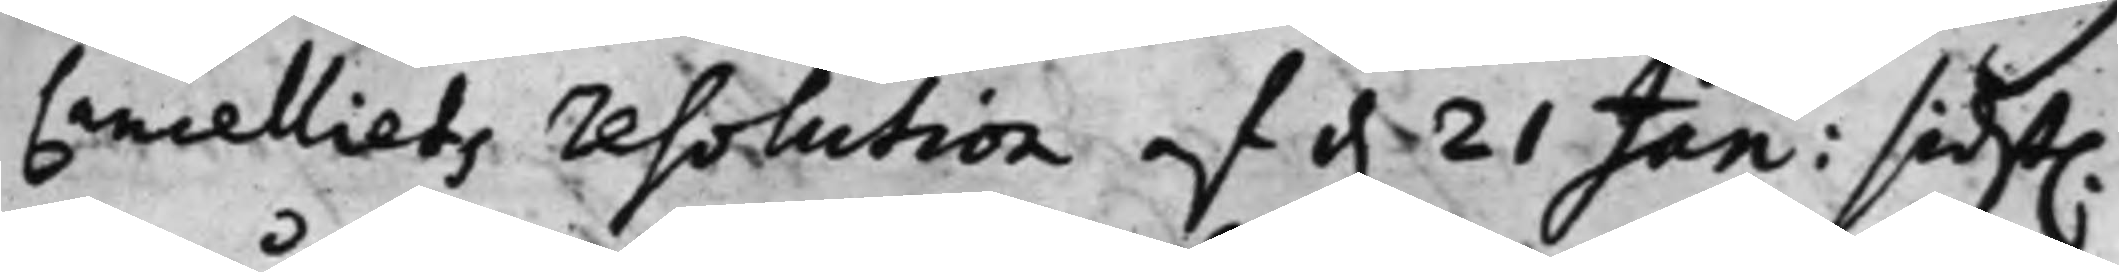Cancelliets resoltion af d. 21 Jan: sidst.
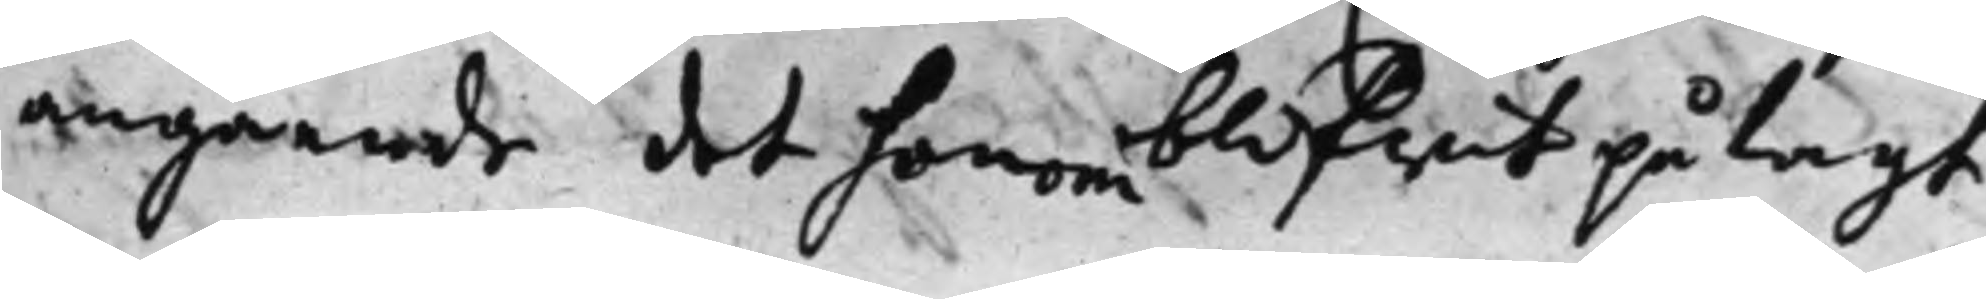angående det honom blifwit pålagt
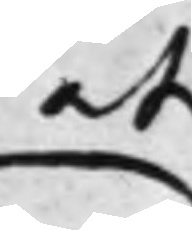at
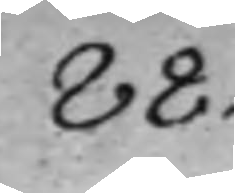88.
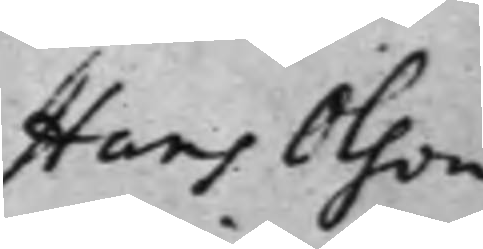Hans Olson
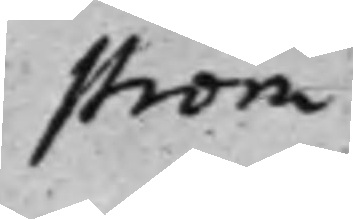Ström
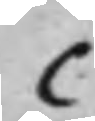C
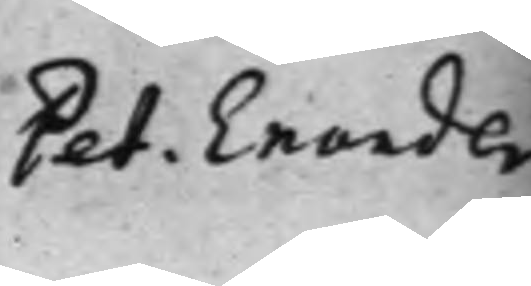Pet. Enander
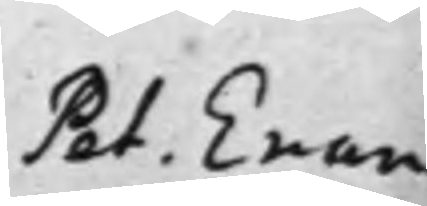Pet. Enan¬
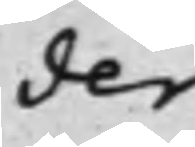der
